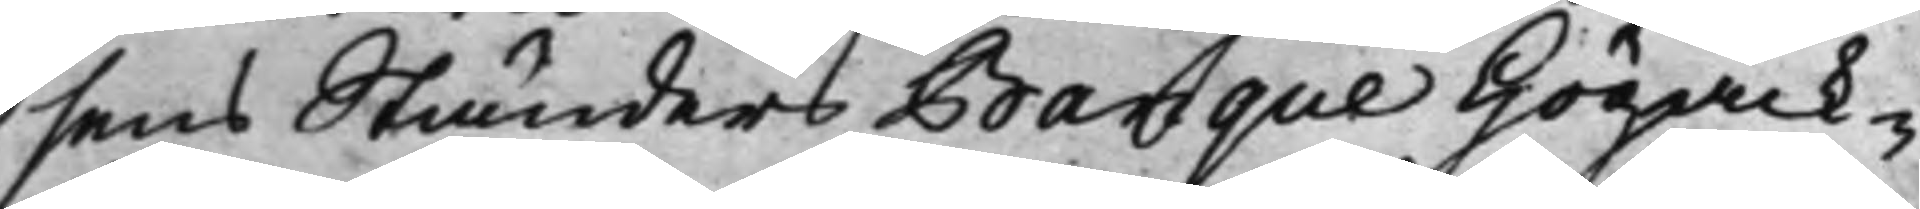sens Ständers Banque Högack-
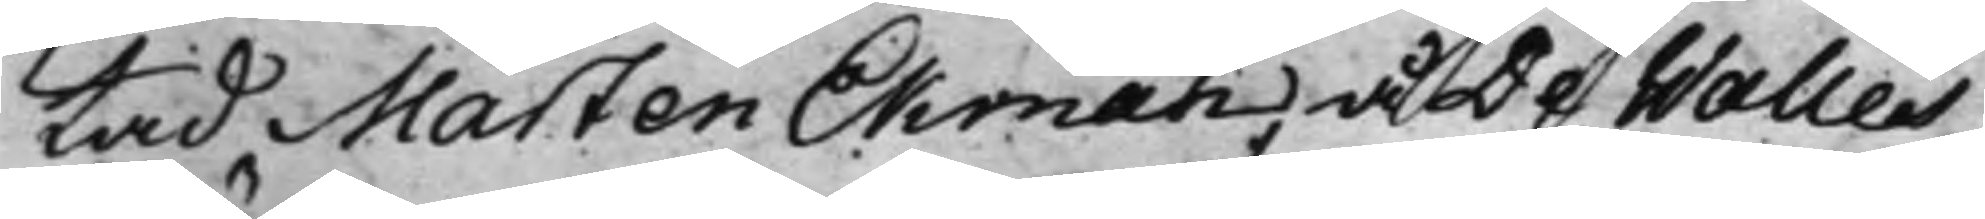tad Mårten Ekman, å De Walles
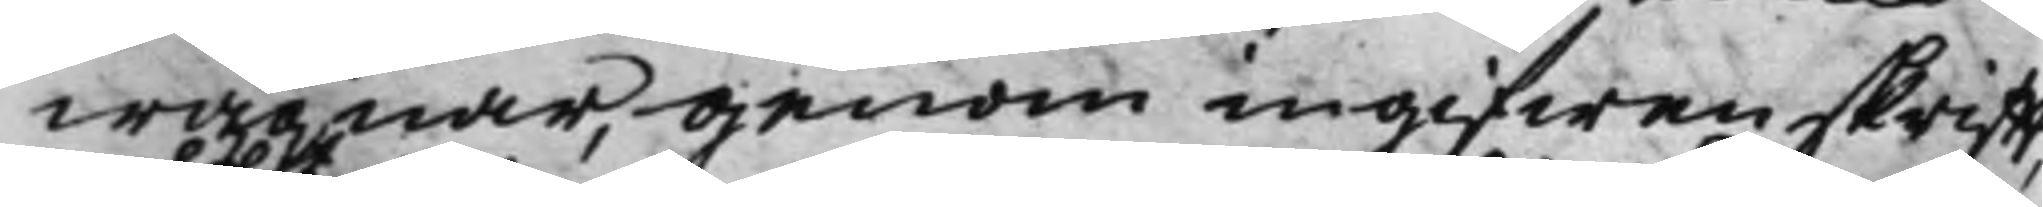wägnar, genom ingifwen skrifft,
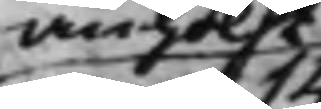anhölt
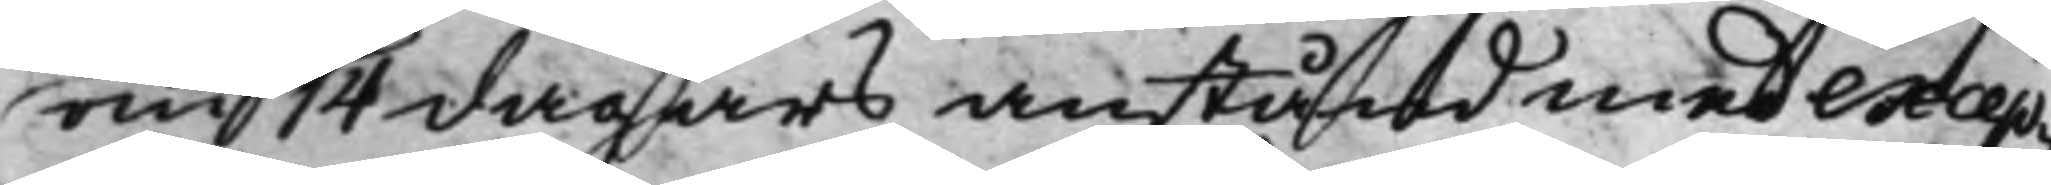om 14 dagars anstånd med excep¬
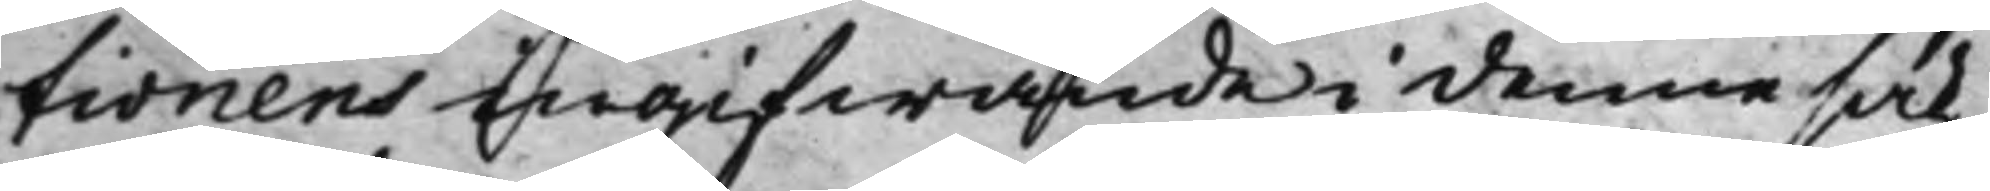tionens ingifwande i denne sak,
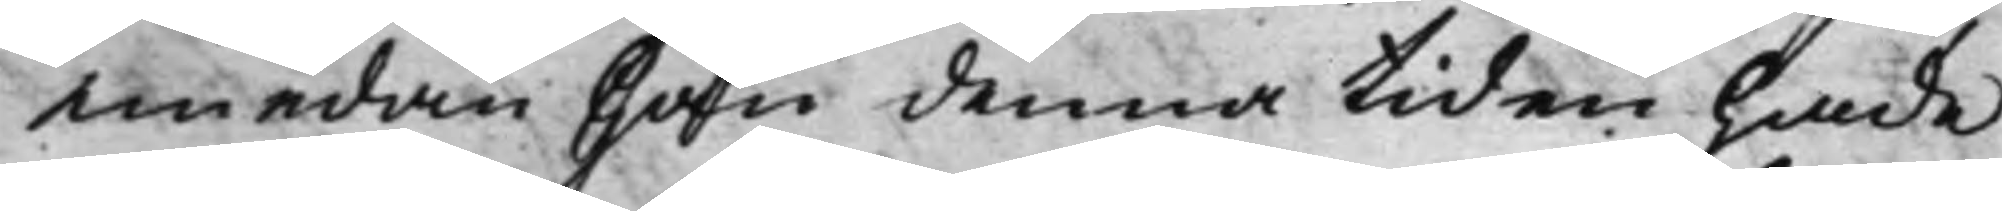emedan han denna tiden hade
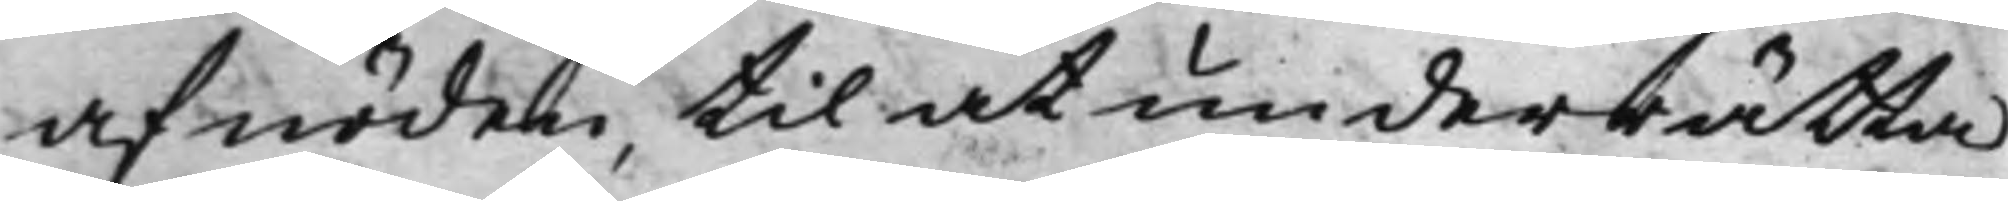af nöden, til at underrätta
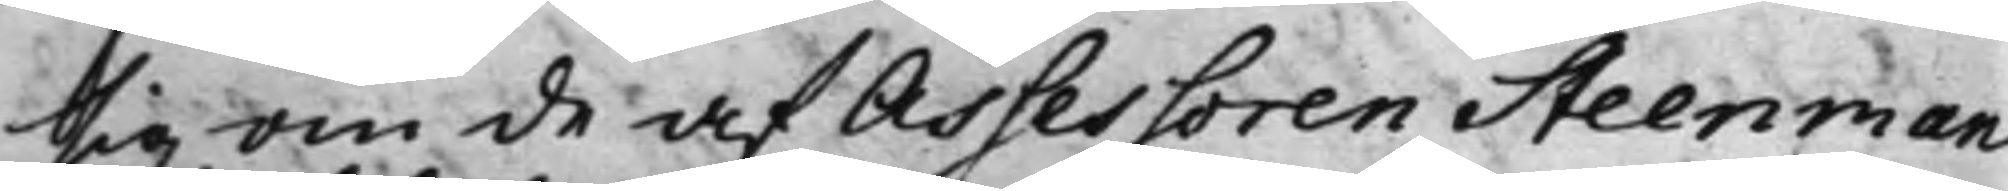sig om de af Assessoren Steenman
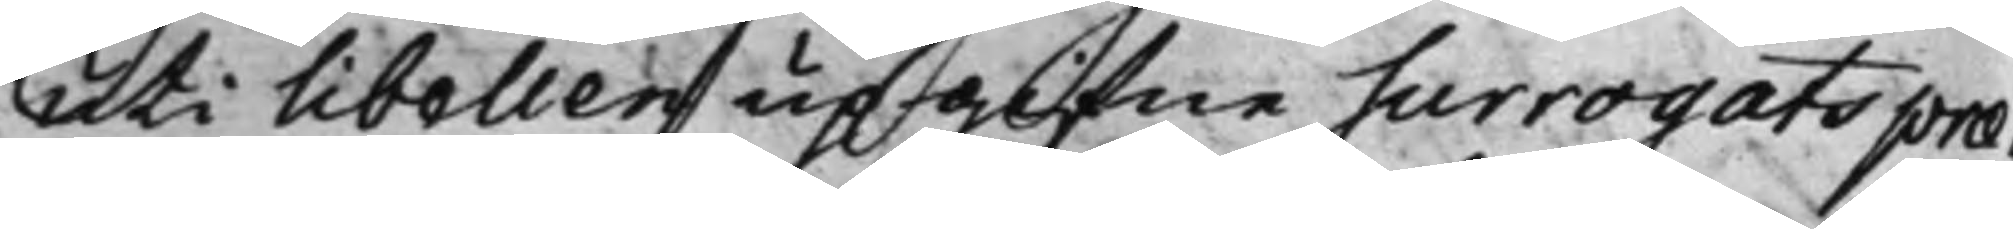uti libellen upgifne Surrogats præ¬
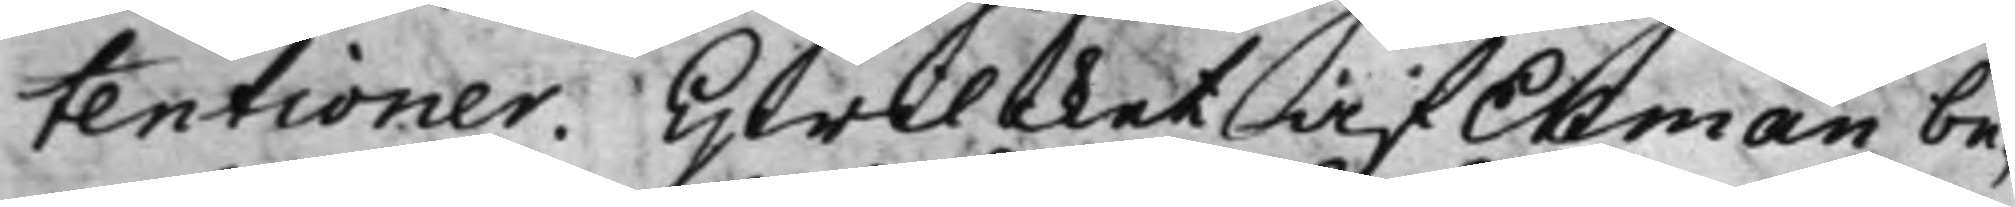tentioner. Hwilcket af Ekman be¬
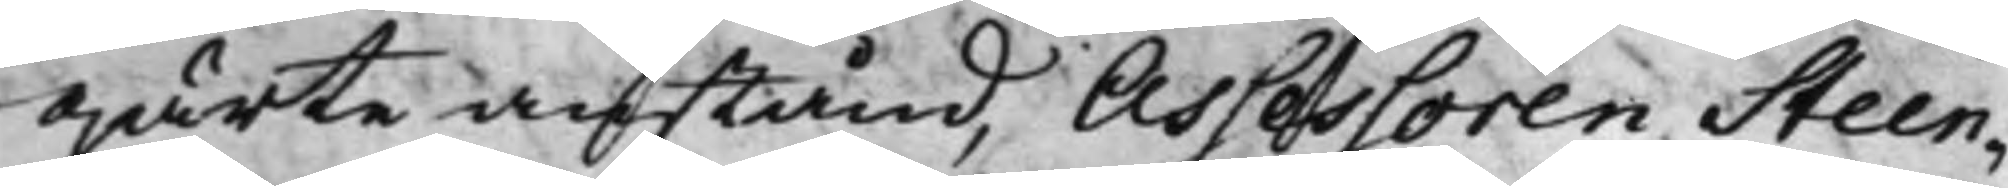gärte anstånd, Assessoren Steen¬
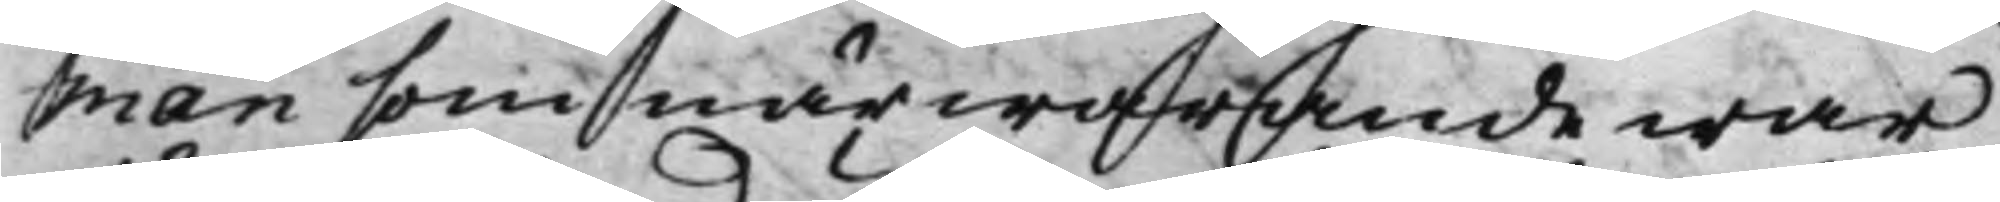man som närwarande war,
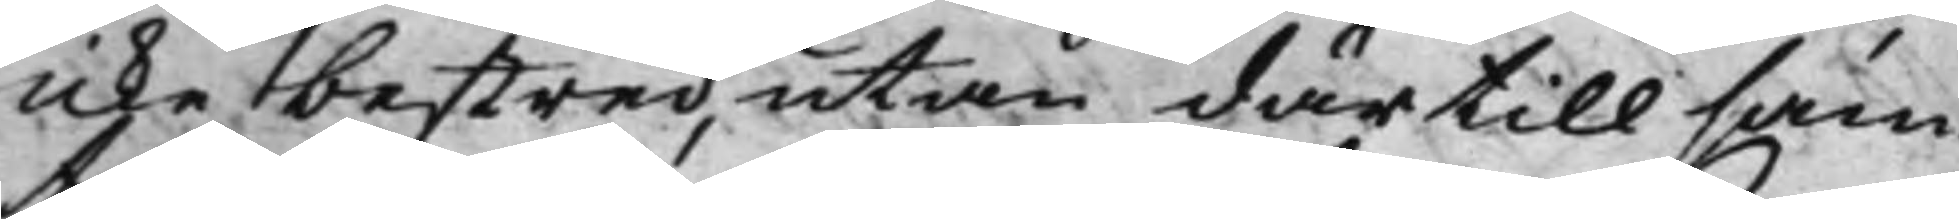icke bestred, utan därtill sam¬
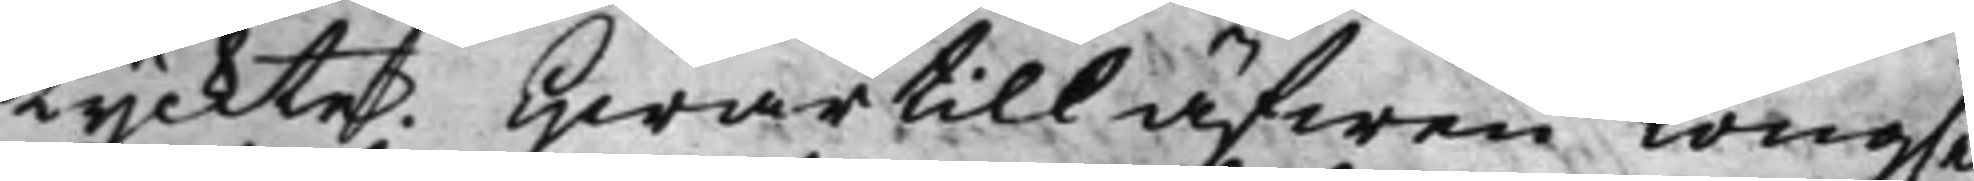tyckte. Hwartill äfwen Kong.e
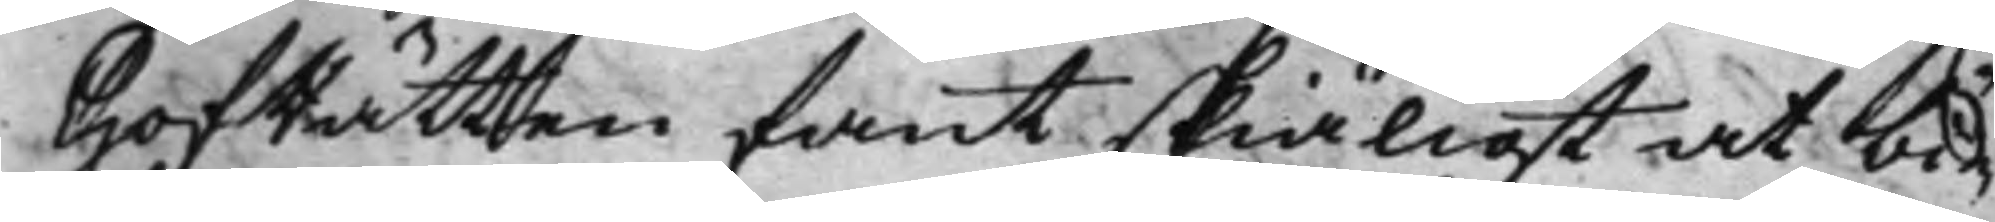HofRätten fant skiäligt at bi¬
